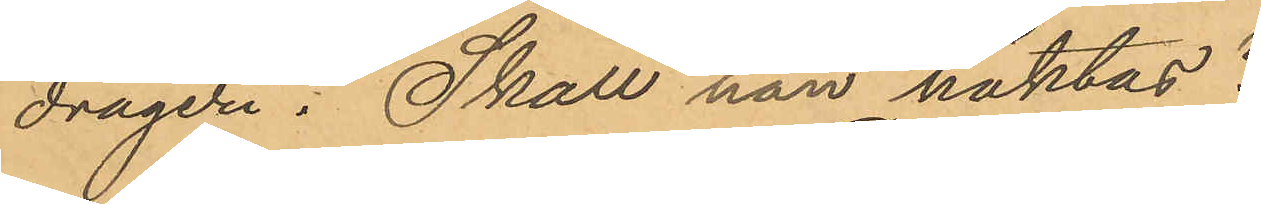drageri. Skall han häktas?
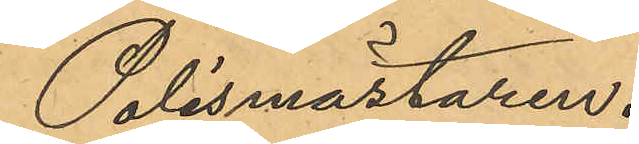Polismästaren."
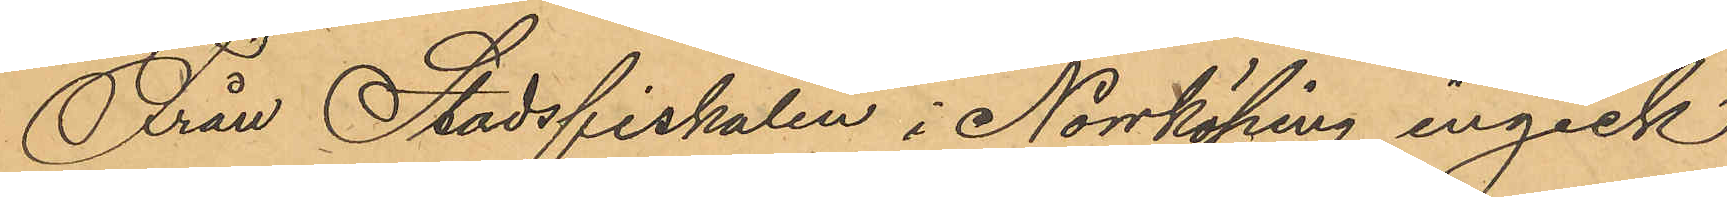Från Stadsfiskalen i Norköping ingick
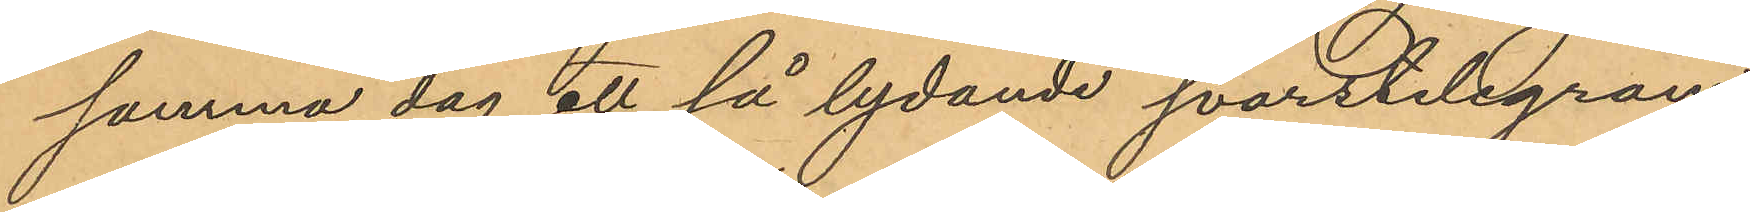samma dag ett så lydande svarstelegram:
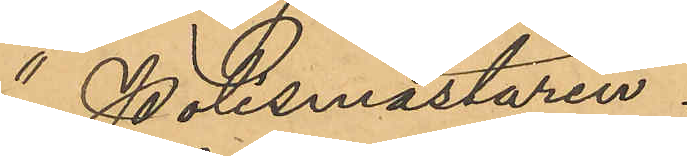"Polismästaren.
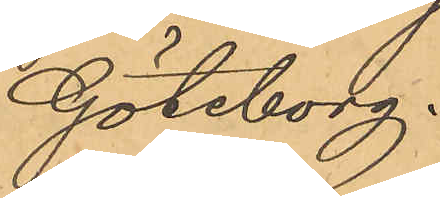Göteborg,
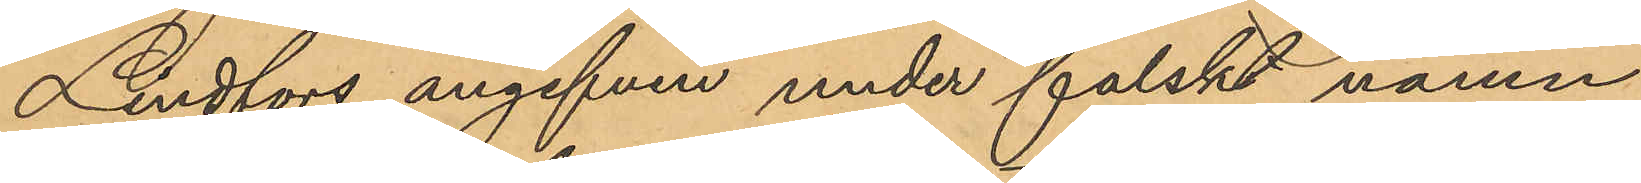Lindfors angifven under falskt namn
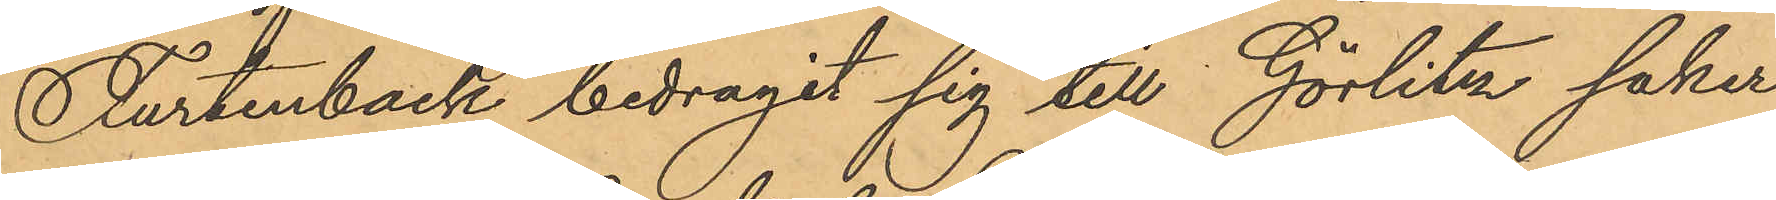Furtenback bedragit sig till Görlitz saker
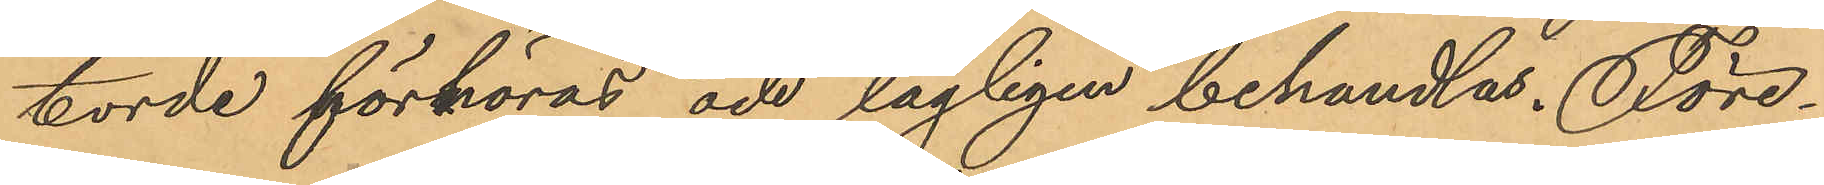torde förhöras och lagligen behandlas. Före¬
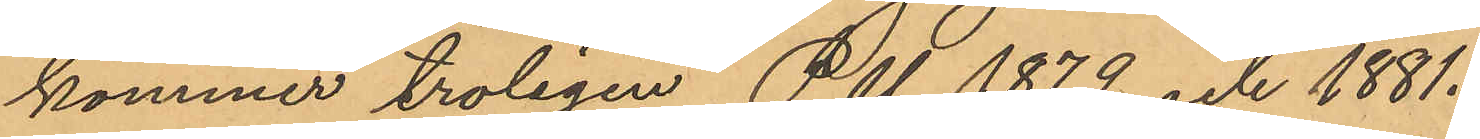kommer troligen P. U 1879 och 1881.
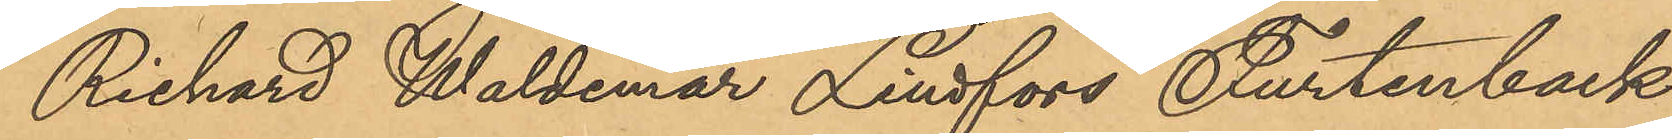Richard Waldemar Lindfors Furtenback
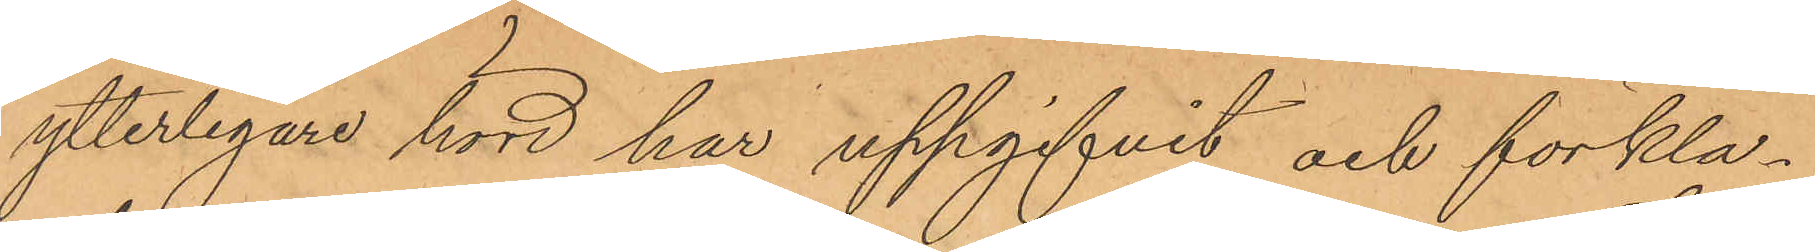ytterligare hörd har uppgifvit och förkla¬
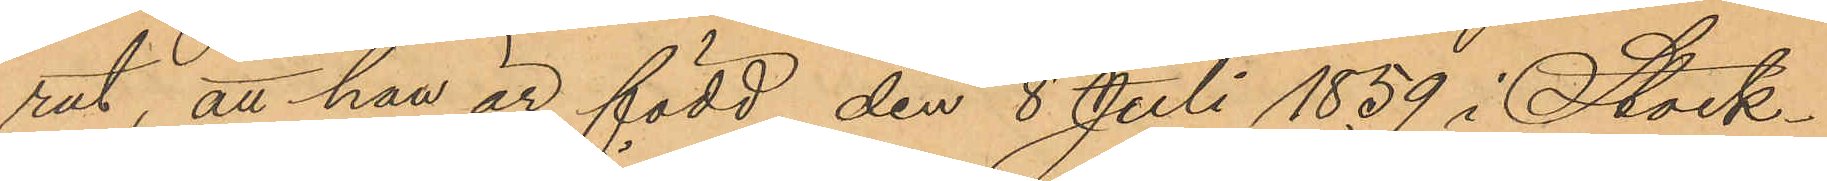rat, att han är född den 8 Juli 1859 i Stock¬
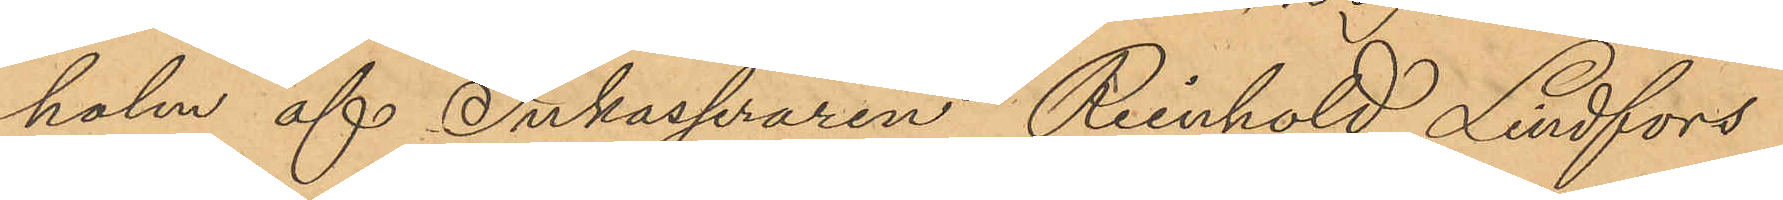holm af Inkasseraren Reinhold Lindfors
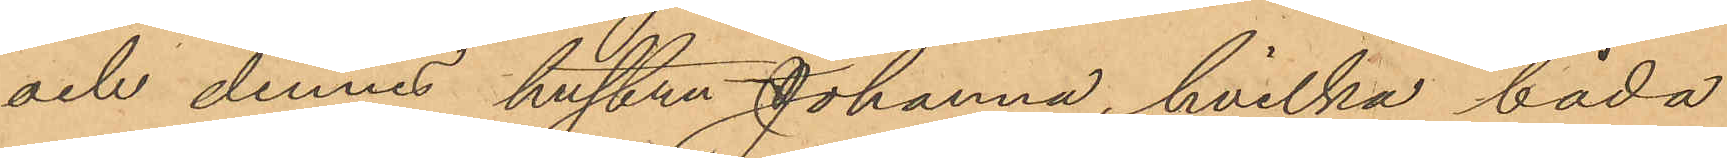och dennes hustru Johanna, hvilka båda
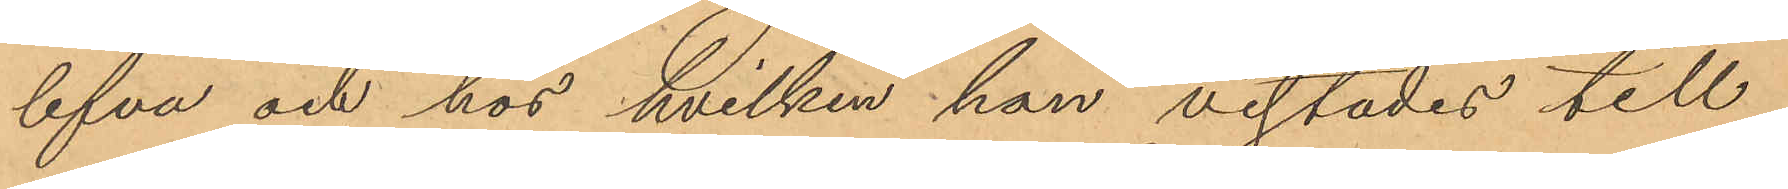lefva och hos hvilken han vistades till
